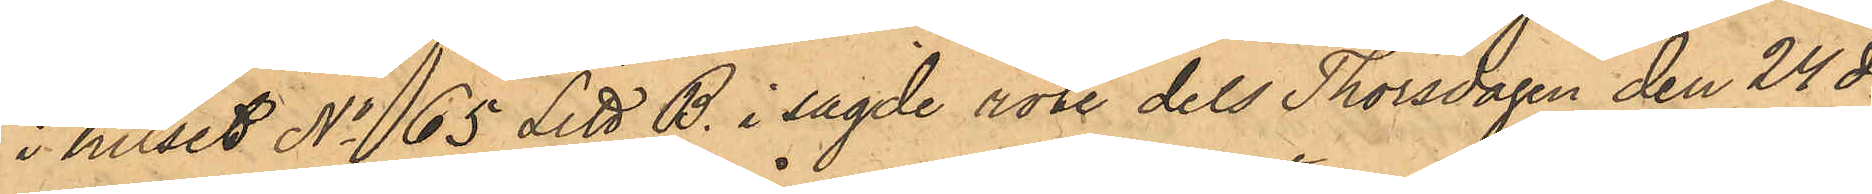i huset No 65 Litt B. i sagde rote dels Thorsdagen den 24 ds
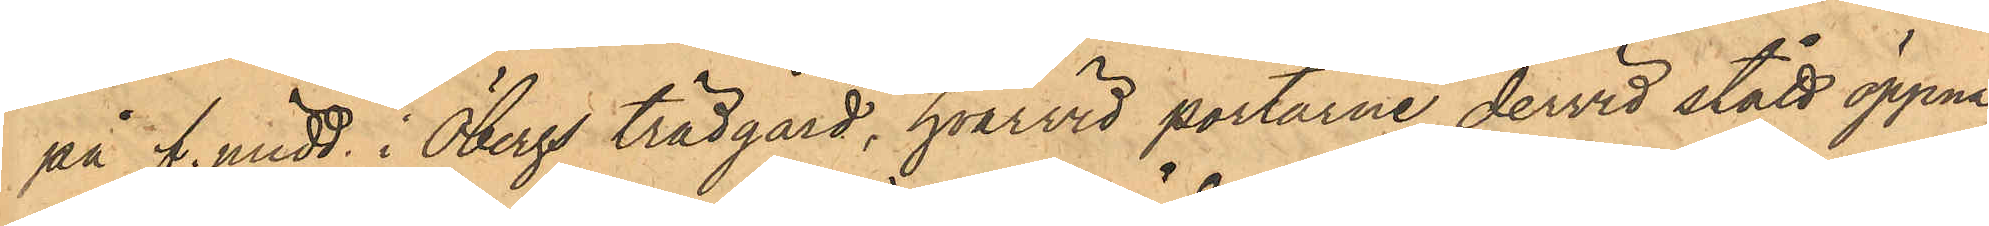på f. midd. i Öbergs trädgård, hvarvid portarne dervid stått öppna,
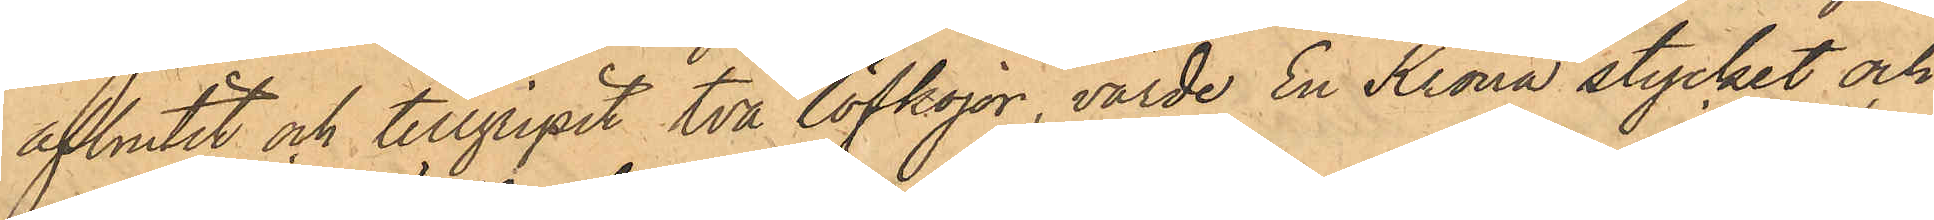afbrutit och tillgripit två löfkojor, värde En Krona stycket och
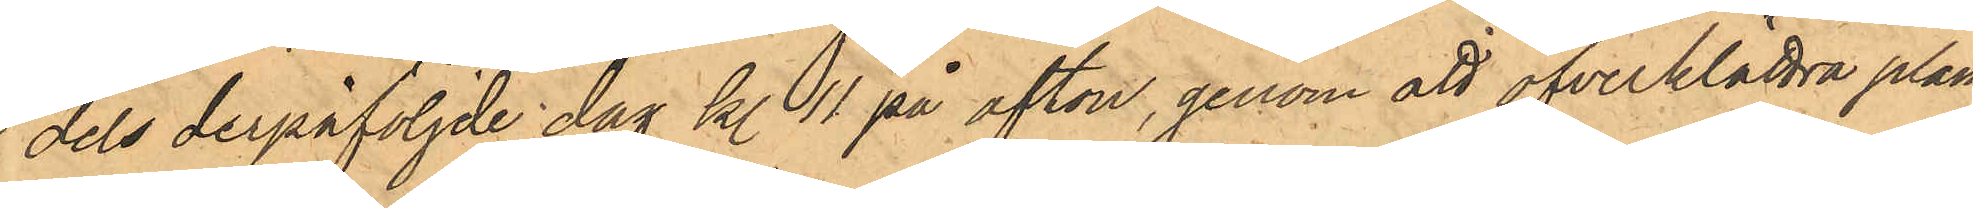dels derpåföljde dag kl. 11 på afton, genom att öfverklättra plan¬
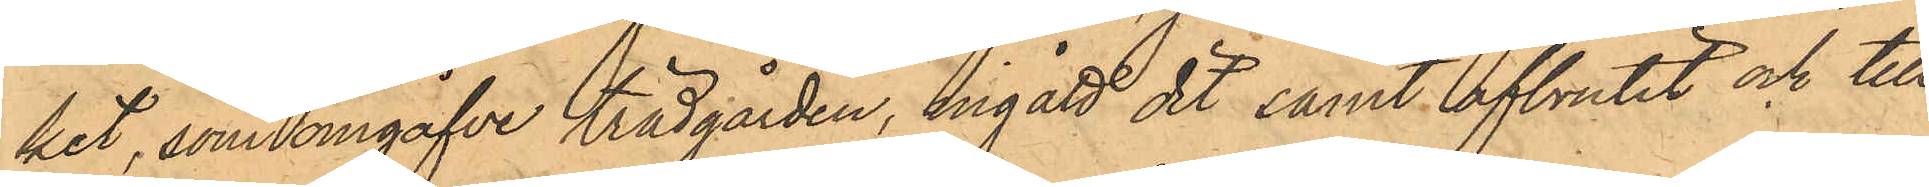ket, som omgåfve trädgården, ingått dit samt afbrutit och till
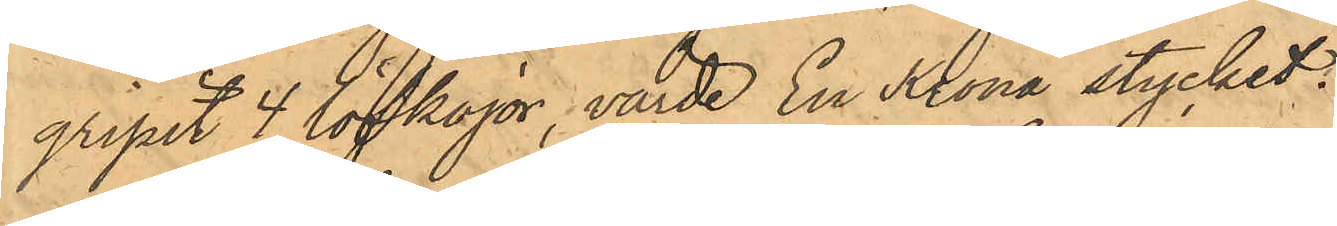gripit 4 löfkojor, värde En Krona stycket.
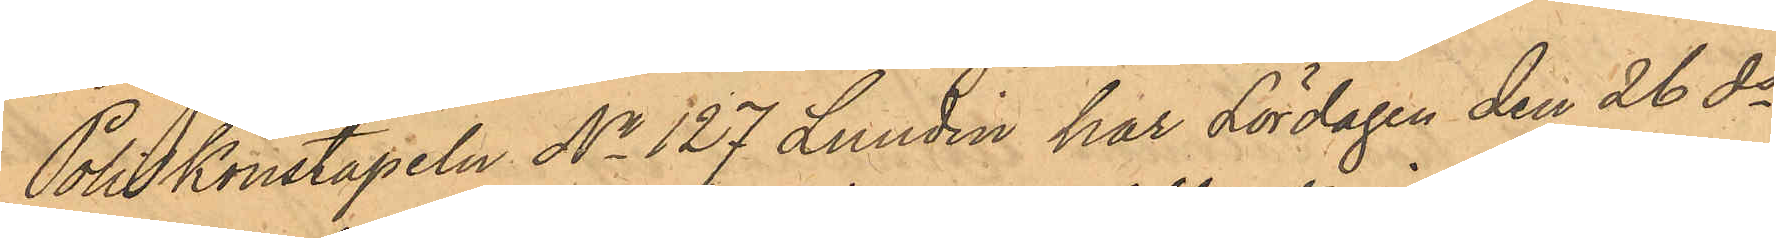Poliskonstapeln No 127 Lundin har Lördagen den 26 ds
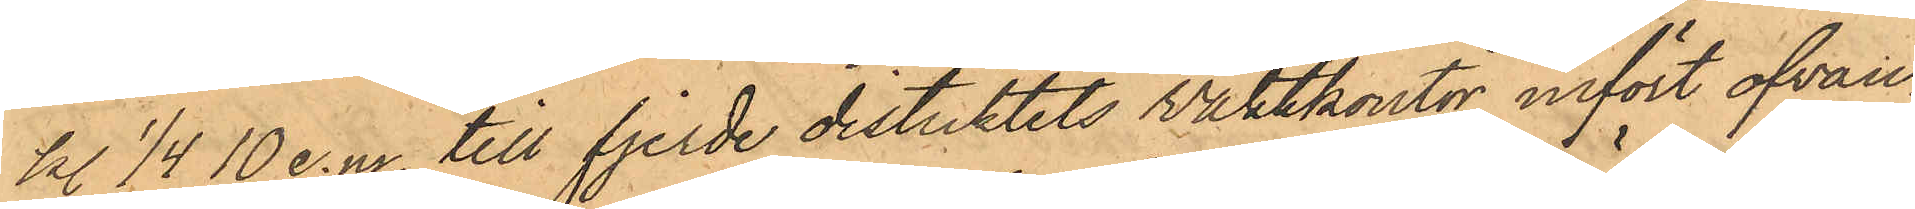kl 1/4 10 e.m. till fjerde distriktets Vaktkontor infört ofvan¬
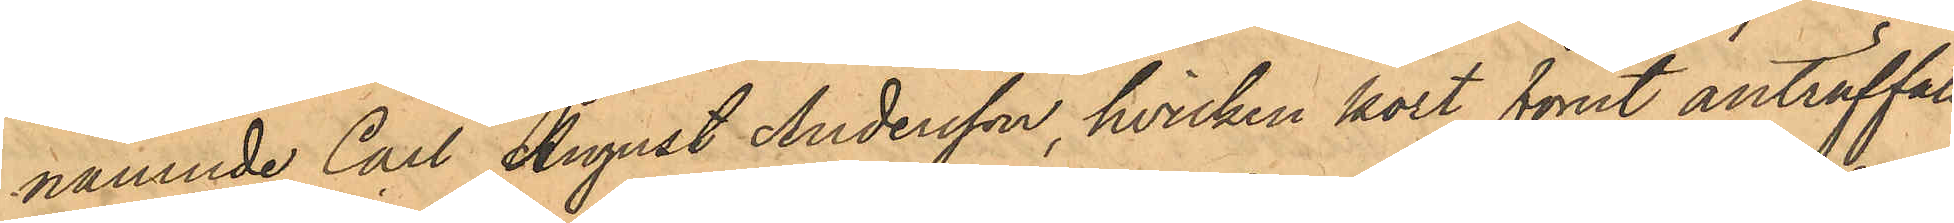nämnde Carl August Andersson, hvilken kort förut anträffats
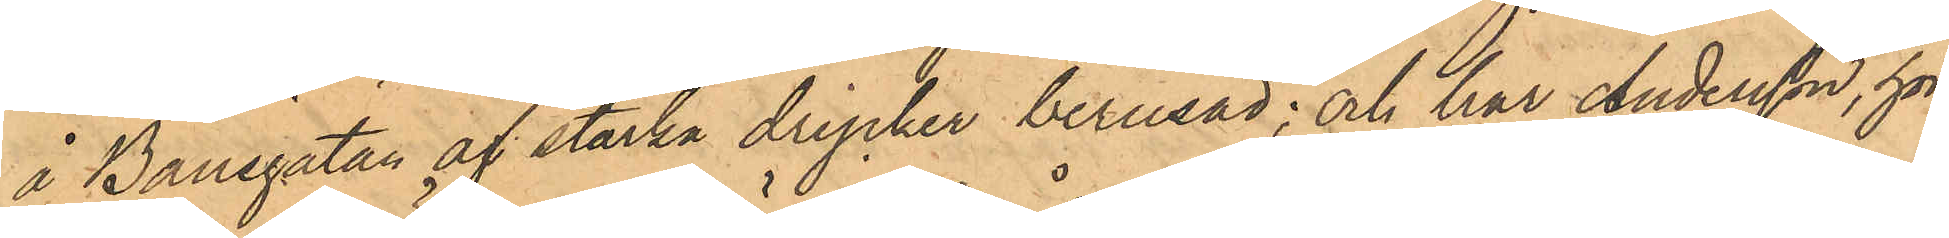å Banegatan af starka drycker berusad; och har Andersson, hörd
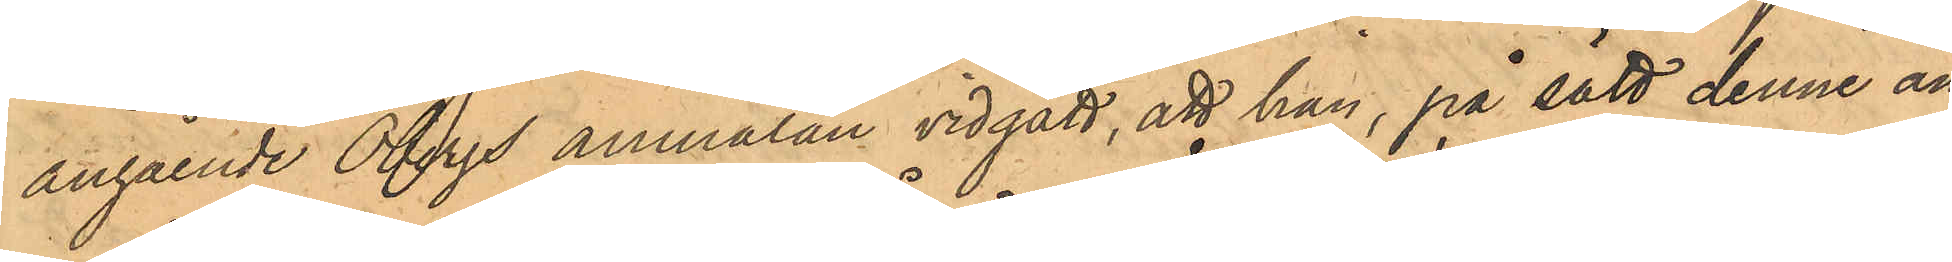angående Öbergs anmälan vidgått, att han, på sätt denne an¬
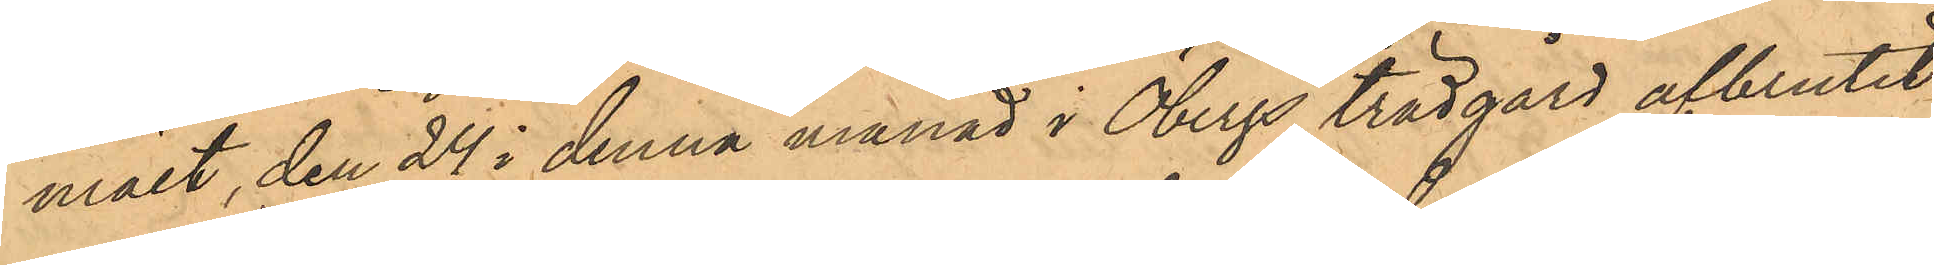mält, den 24 i denna månad i Öbergs trädgård åtbrutit
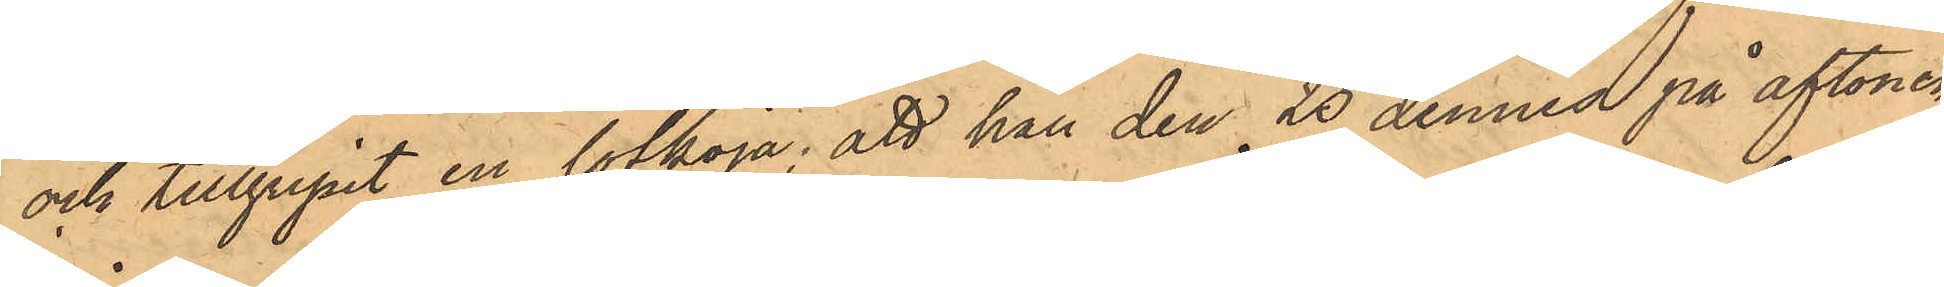och tillgripit en löfkoja; att han den 25 dennes på aftonen,
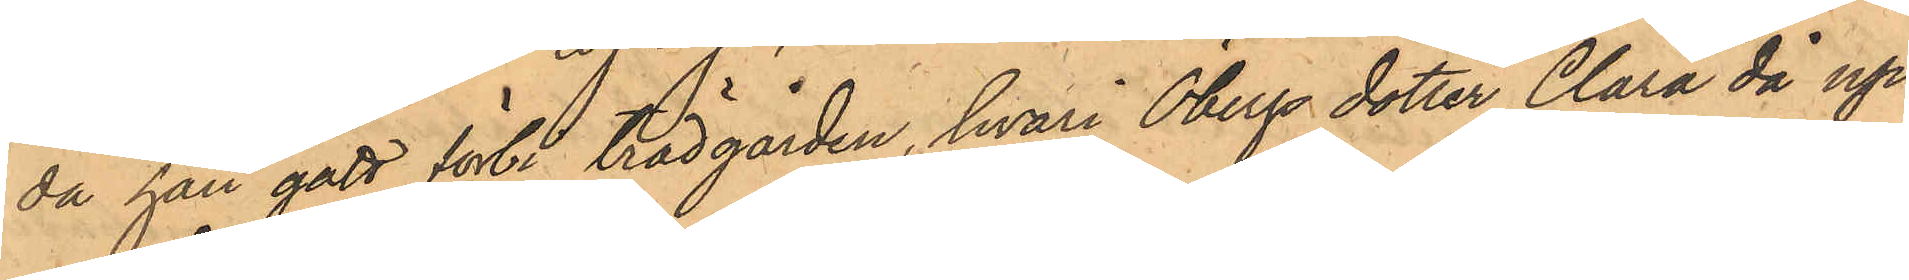då han gått förbi trädgården, hvari Öbergs dotter Clara då up¬
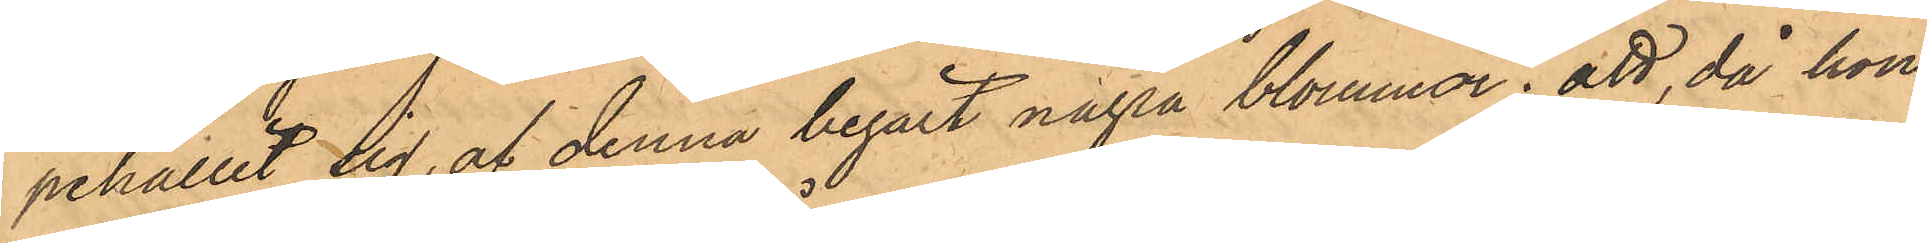pehållit sig, af denna begärt några blommor; att, då hon
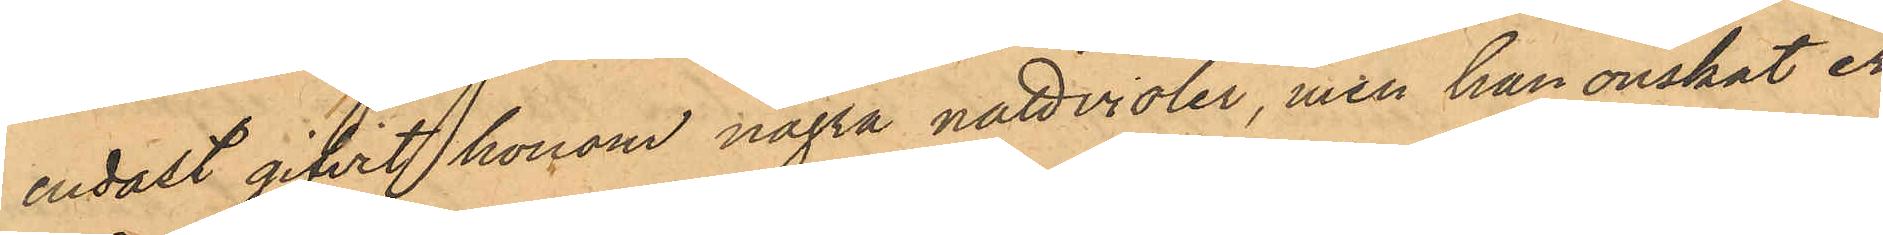endast gifvit honom några nattvioler, men han onskat er¬
